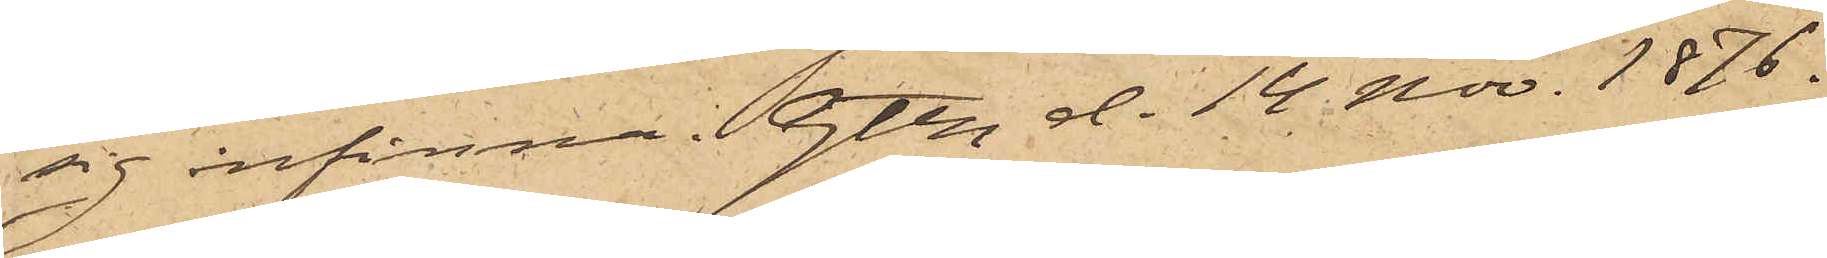sig infinna. Gtbg d. 14. Nov. 1876.
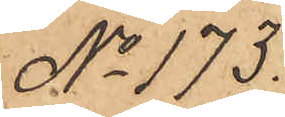No 173.
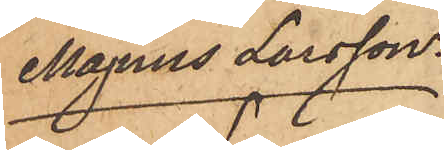Magnus Larsson.
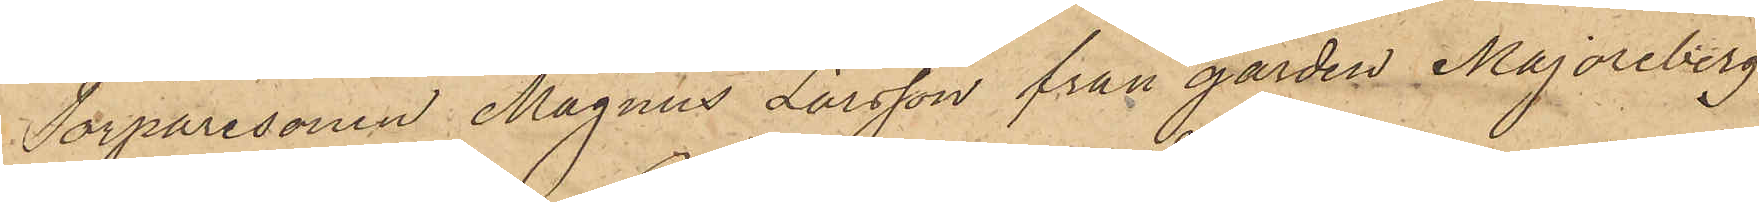Torparesonen Magnus Larsson från gården Majoreberg
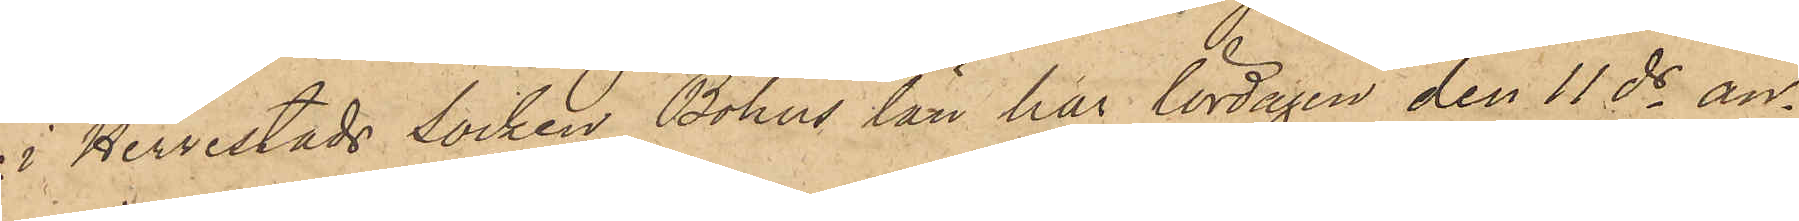i Herrestads socken Bohus län har lördagen den 11 ds an¬
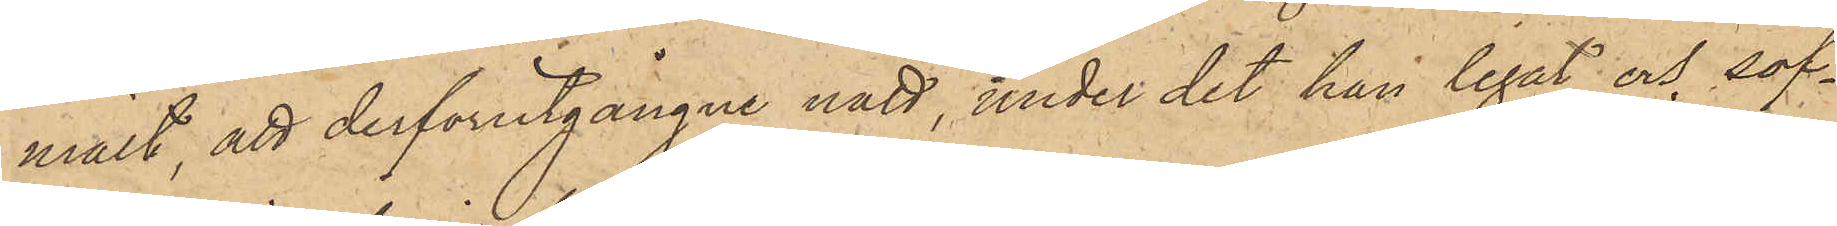mält, att derförutgångne natt, under det han legat och sof¬
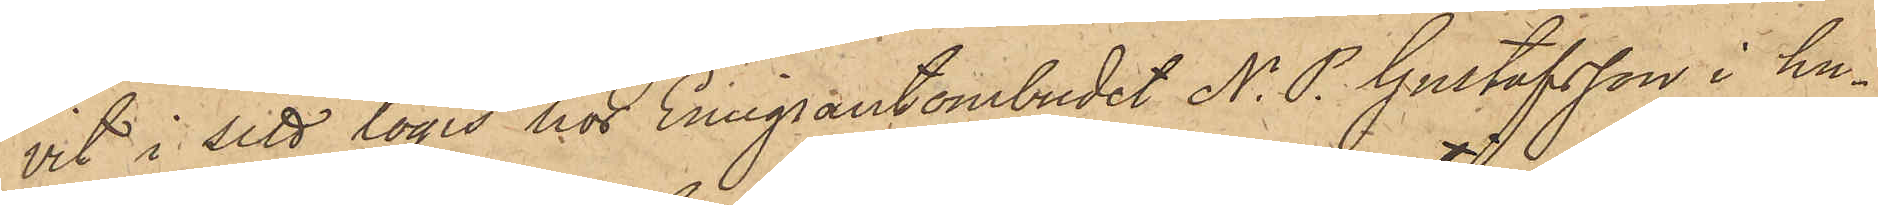vit i sitt logis hos Emigrantombudet N. P. Gustafsson i hu¬
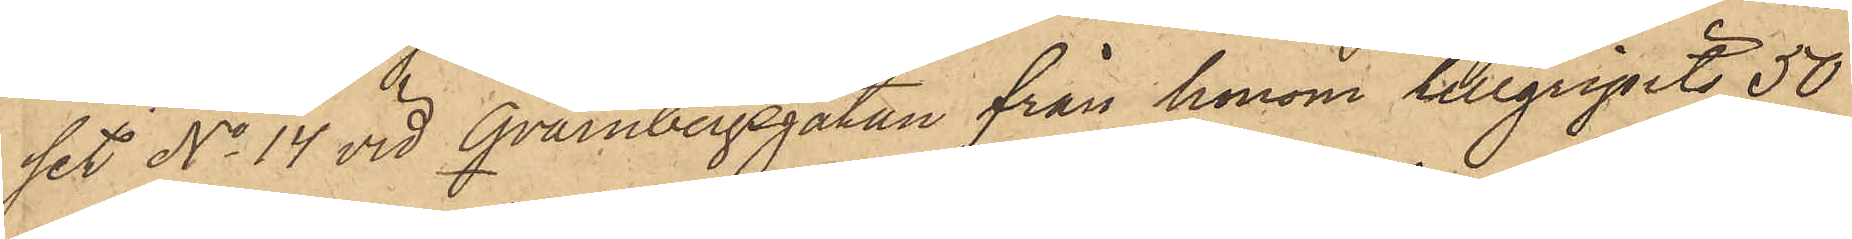set No 14 vid Qvarnbergsgatan från honom tillgripits 50
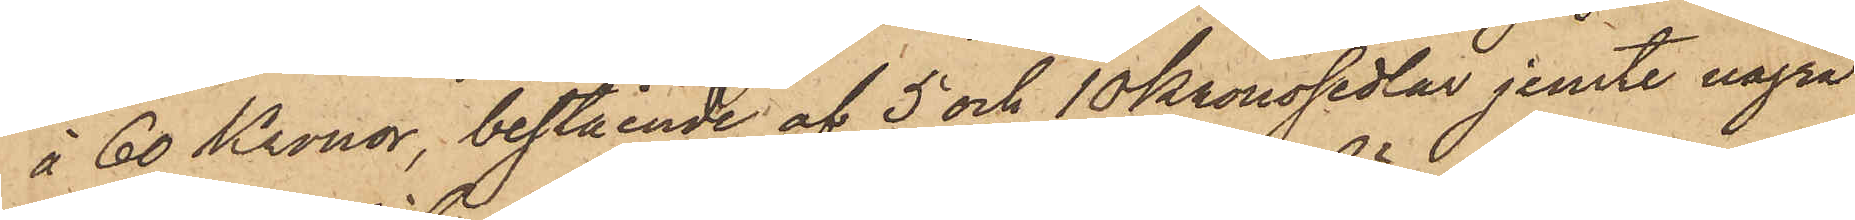à 60 Kronor, bestående af 5 och 10 kronosedlar jemte några
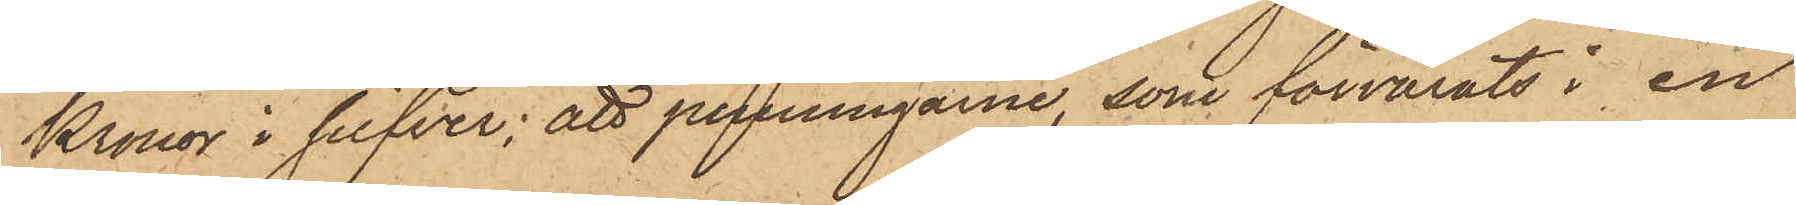Kronor i silfver; att penningarne, som förvarats i en
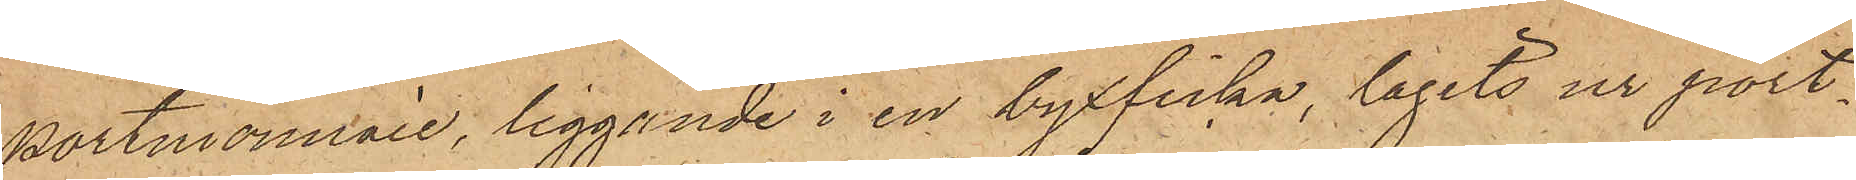portmonnaie, liggande i en byxficka, tagits ur port¬
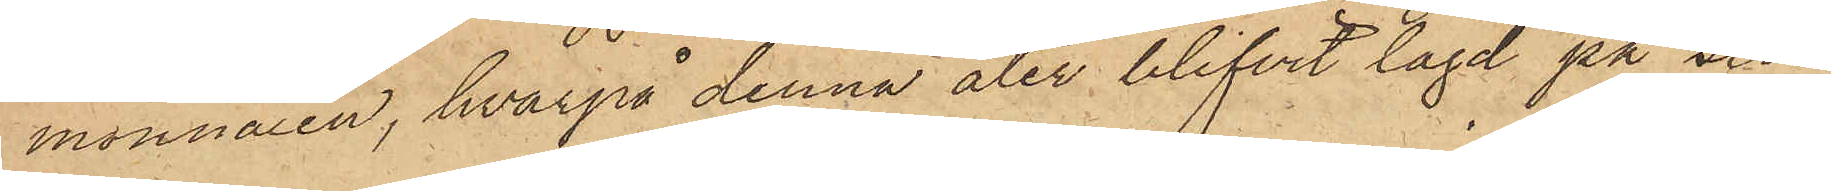monnaien, hvarpå denna åter blifvit lagd på sin
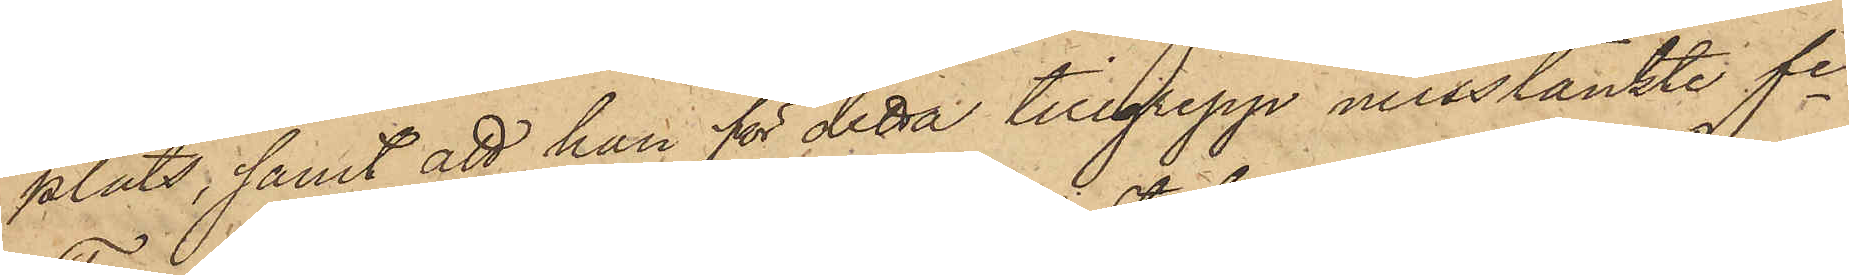plats; samt att han för detta tillgrepp misstänkte fre
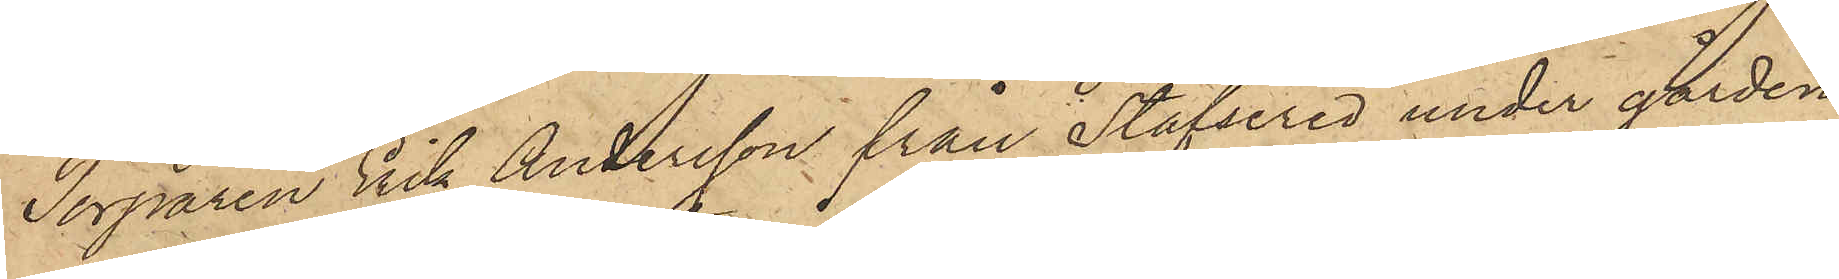Torparen Erik Andersson från Stafsered under gården
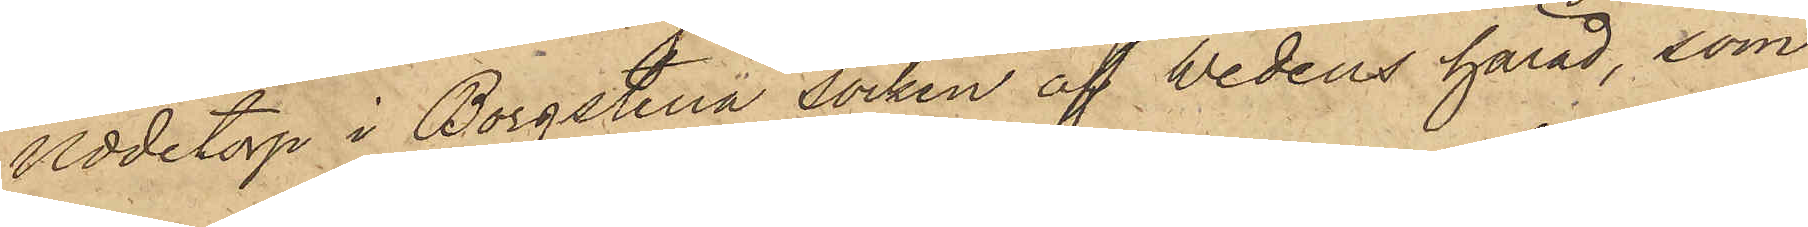Uddetorp i Borgstena socken af Wedens härad, som
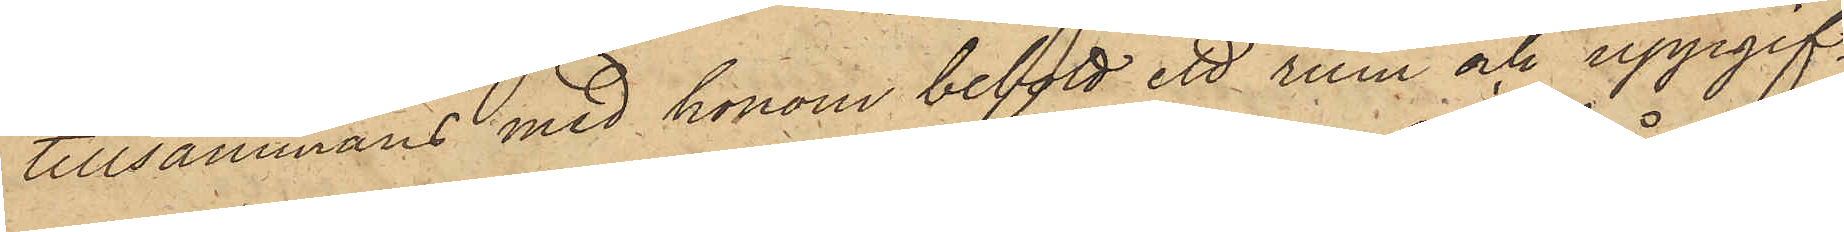tillsammans med honom bebott ett rum och uppgif¬
